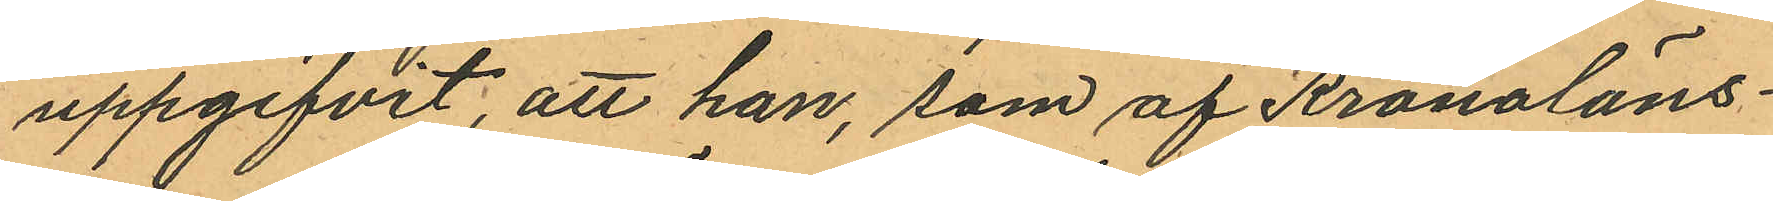uppgifvit, att han, som af Kronoläns¬
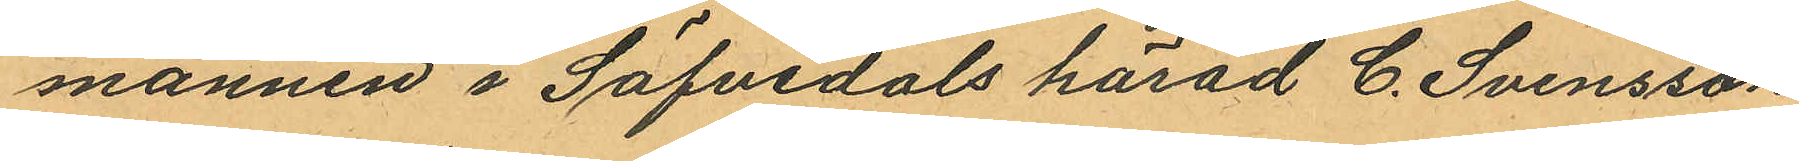mannen i Säfvedals härad C. Svensson
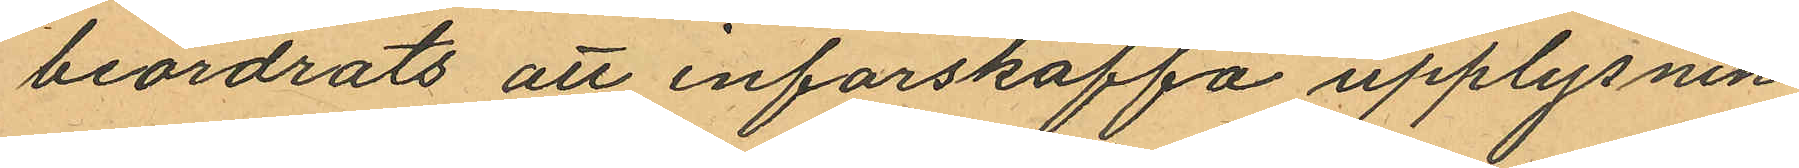beordrats att införskaffa upplysnin¬
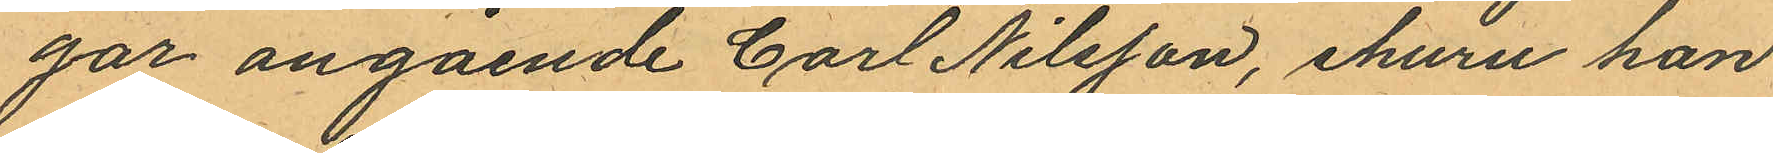gar angående Carl Nilsson, ehuru han
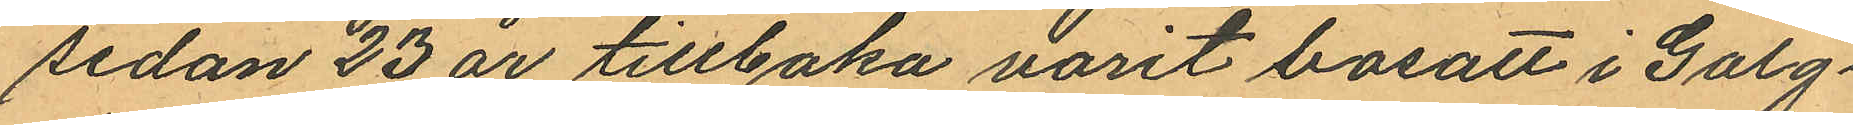sedan 23 år tillbaka varit bosatt i Galg¬
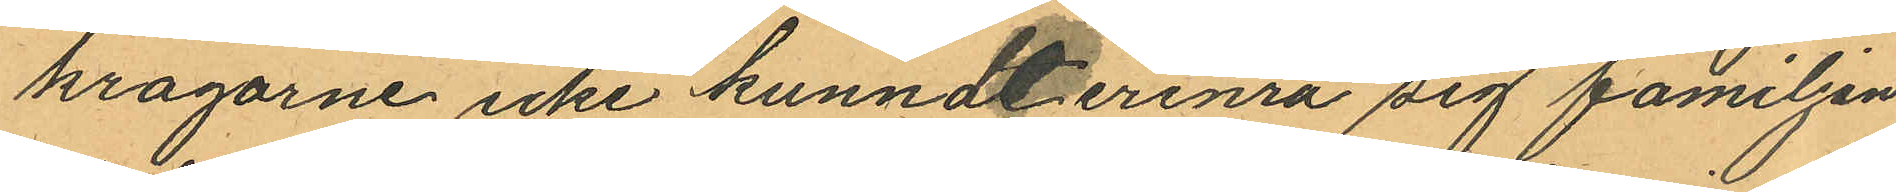krogarne icke kunnat erinra sig familjen
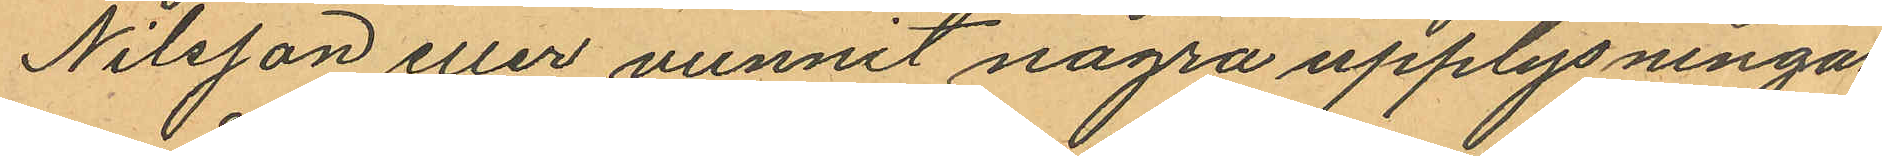Nilsson eller vunnit några upplysningar
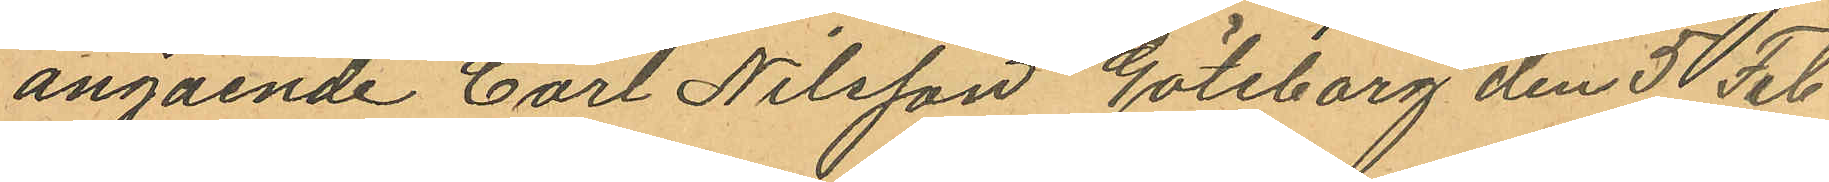angående Carl Nilsson Göteborg den 5 Feb
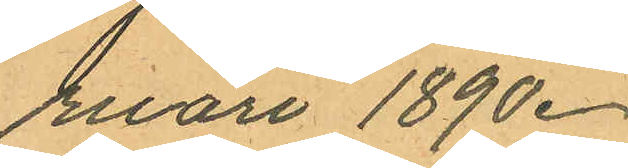ruari 1890.
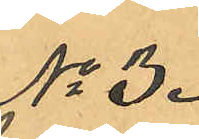No 3.
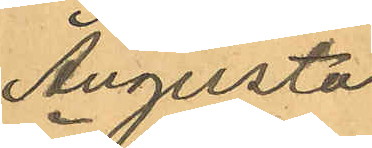Augusta
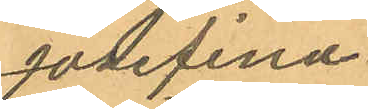Josefina
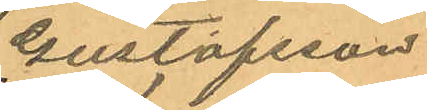Gustafsson
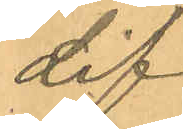Lif.
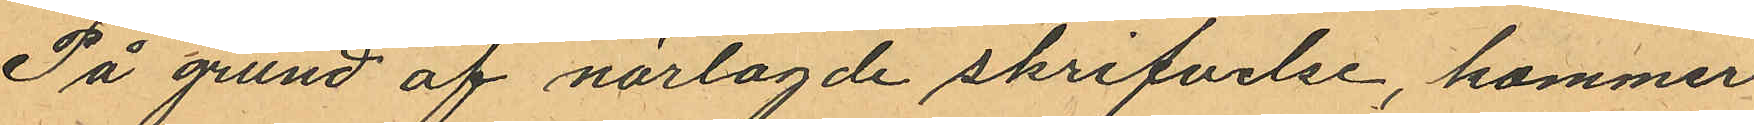På grund af närlagde skrifvelse, kommer
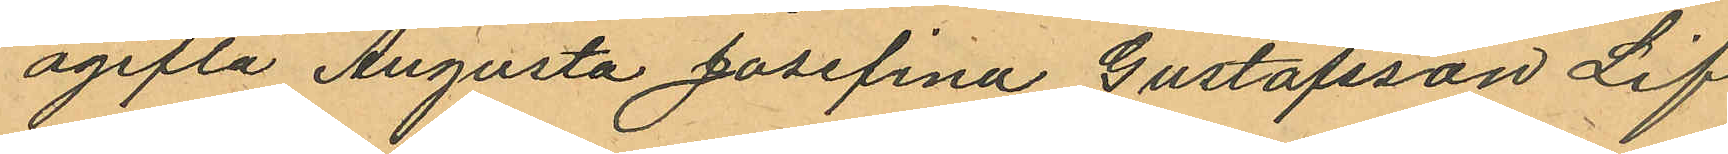ogifta Augusta Josefina Gustafsson Lif,
